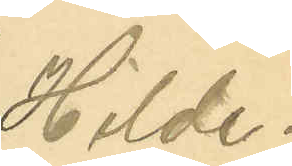Hilde¬
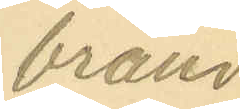brand.
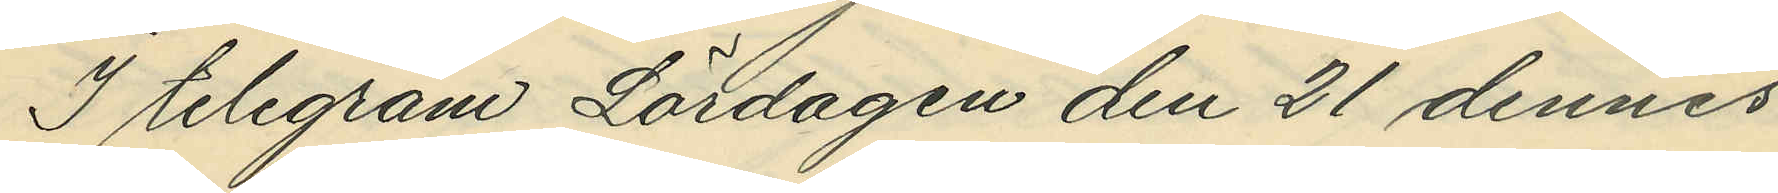I telegram Lördagen den 21 dennes
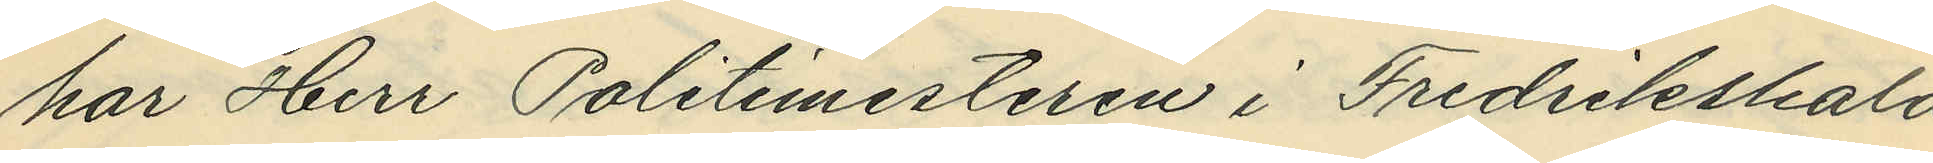har Herr Politimesteren i Fredrikshald
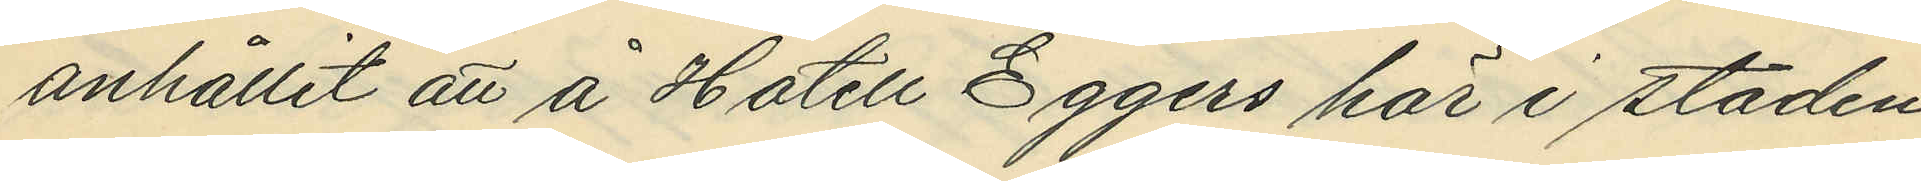anhållit att å Hotell Eggers här i staden
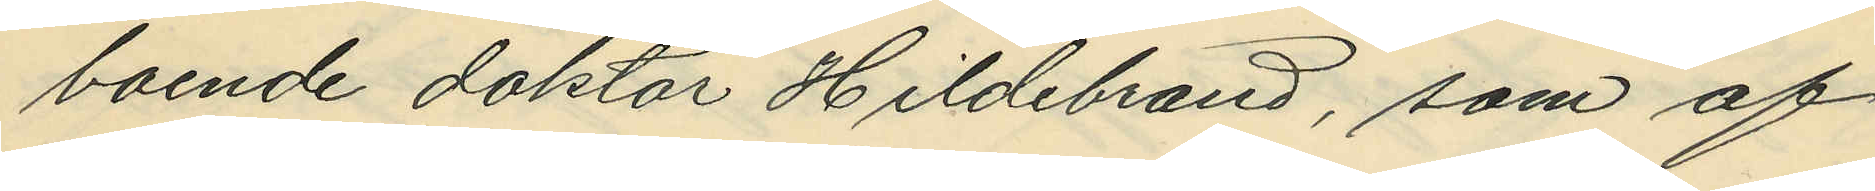boende doktor Hildebrand, som af
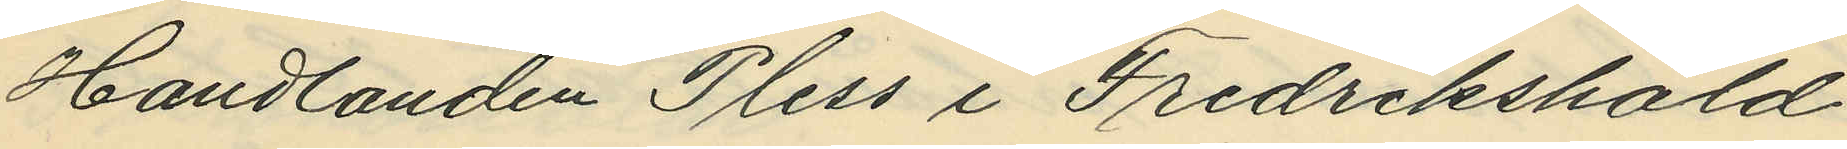Handlanden Pless i Fredrikshald
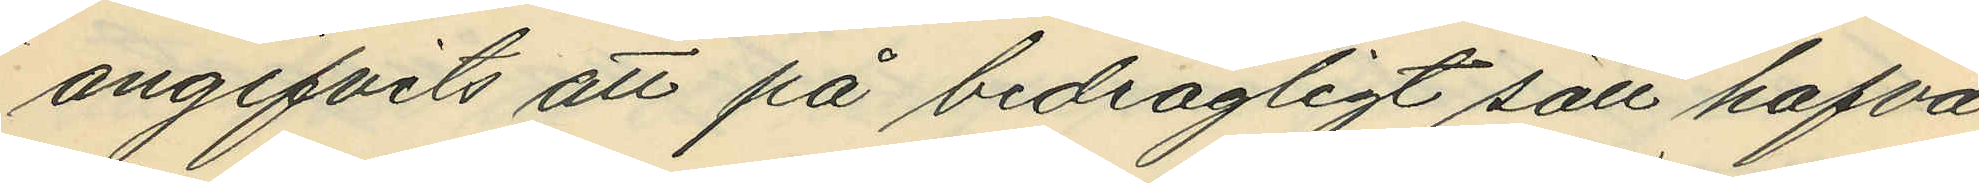angifvits att på bedrägligt sätt hafva
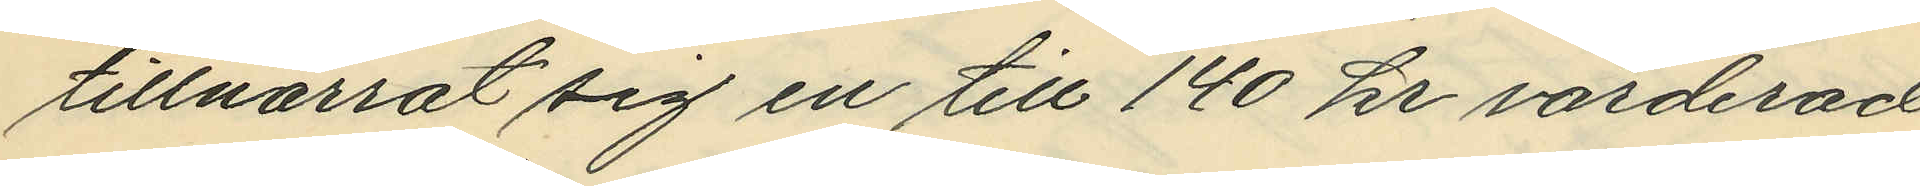tillnarrat sig en till 140 kr värderad
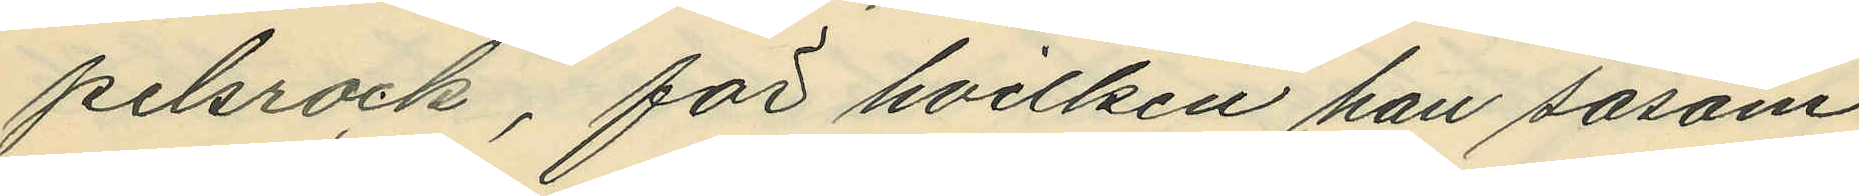pelsrock, för hvilken han såsom
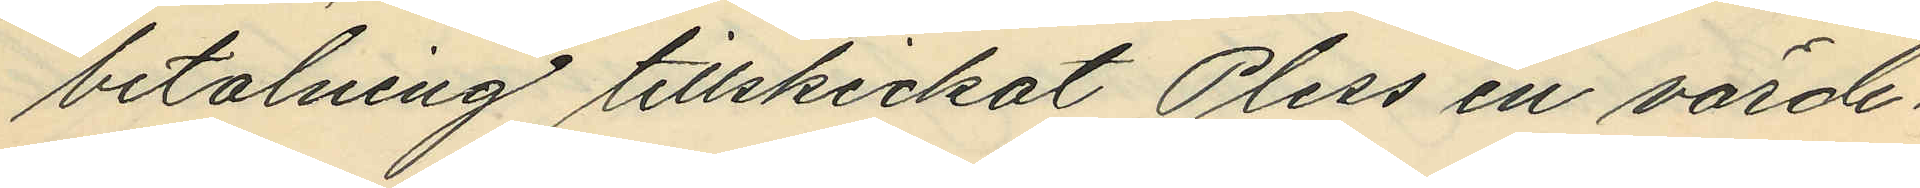betalning tillskickat Pless en värde¬
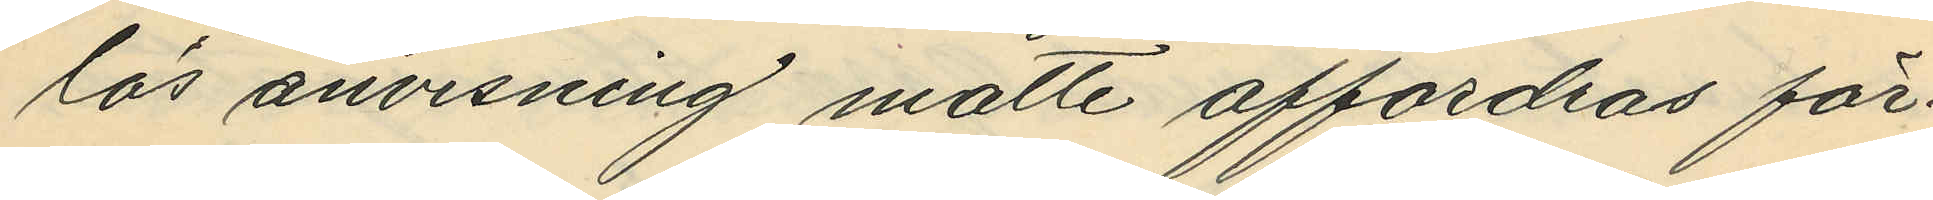lös anvisning måtte affordras för¬
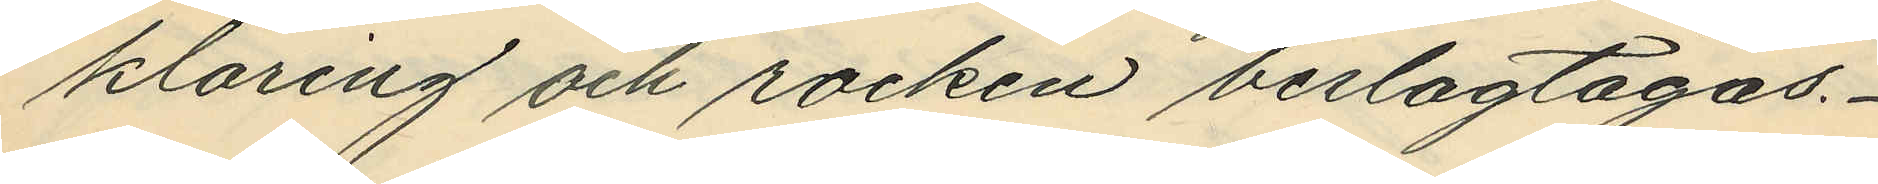klaring och rocken beslagtagas.
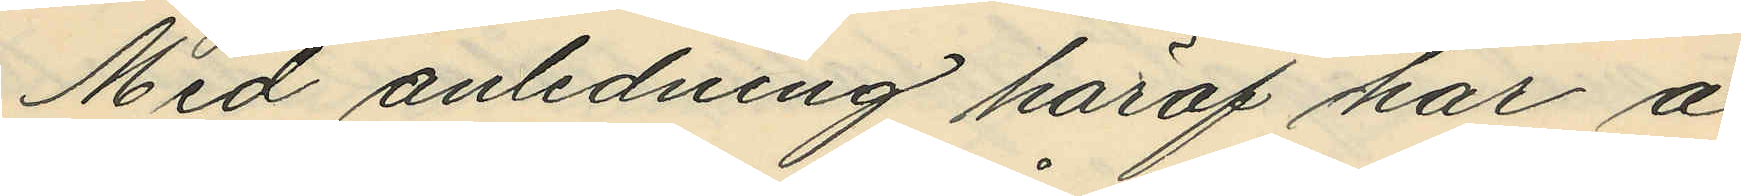Med anledning häraf har å
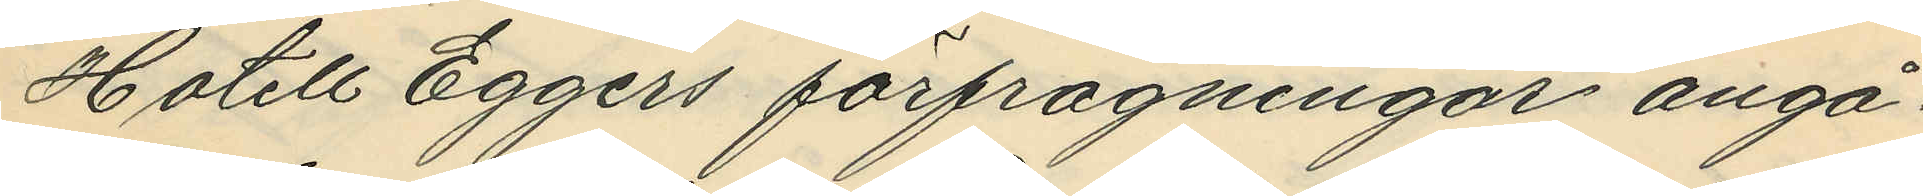Hotell Eggers förfrågningar angå¬
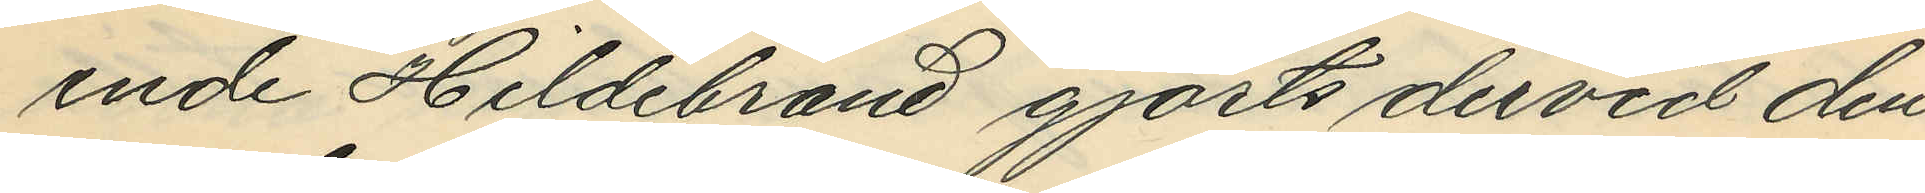ende Hildebrand gjorts dervid den
